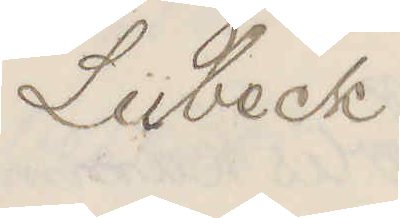Lübeck
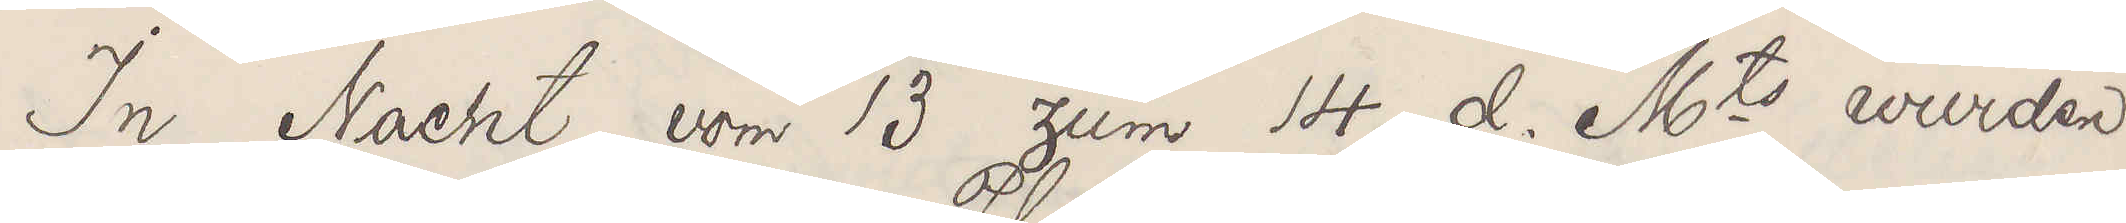In Nacht vom 13 zum 14 d. Mts wurden
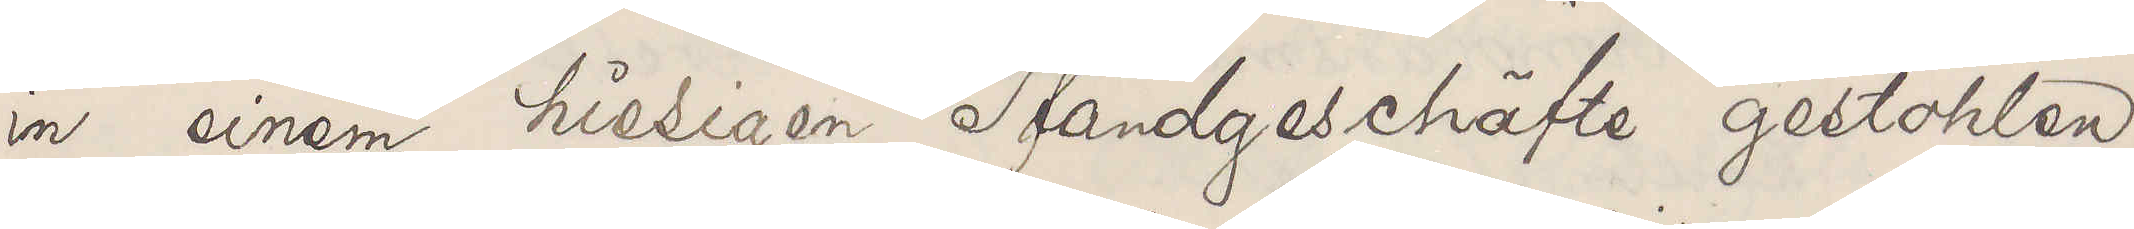in einem hiesigen Pfandgeschäfte gestohlen
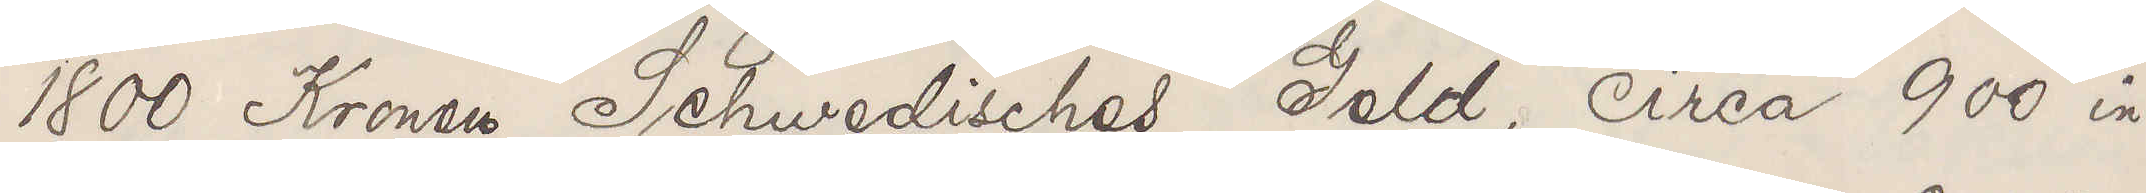1800 Kronen Schwedisches Geld, circa 900 in
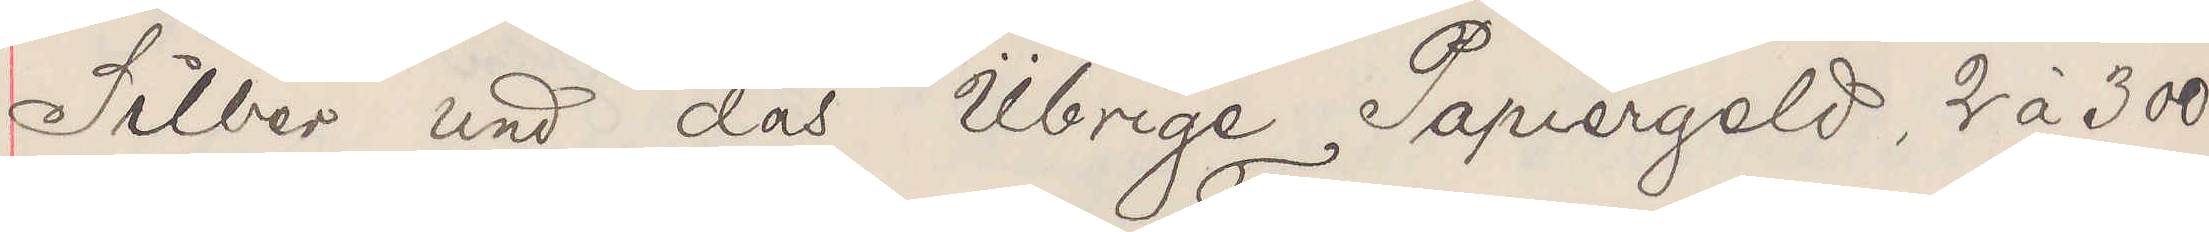Silber und das Übrige Papiergeld, 2 à 300
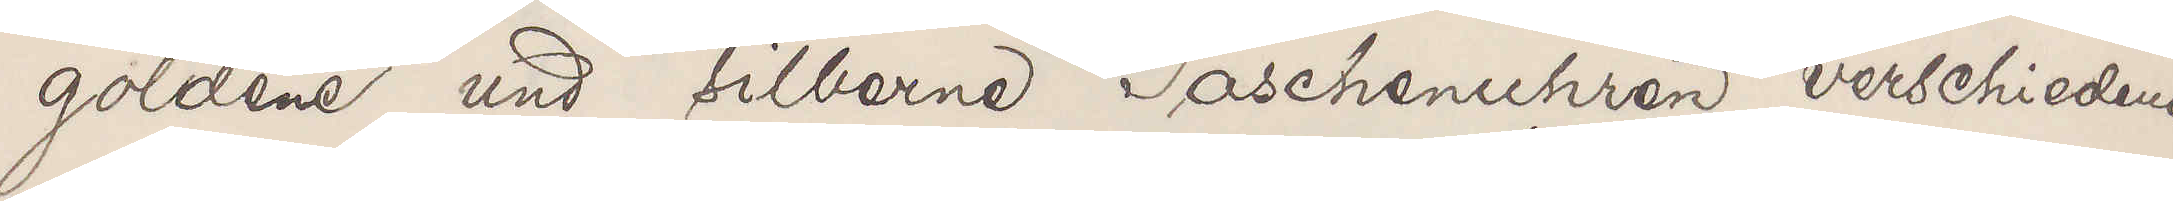goldene und silberne Taschenuhren, verschiedene
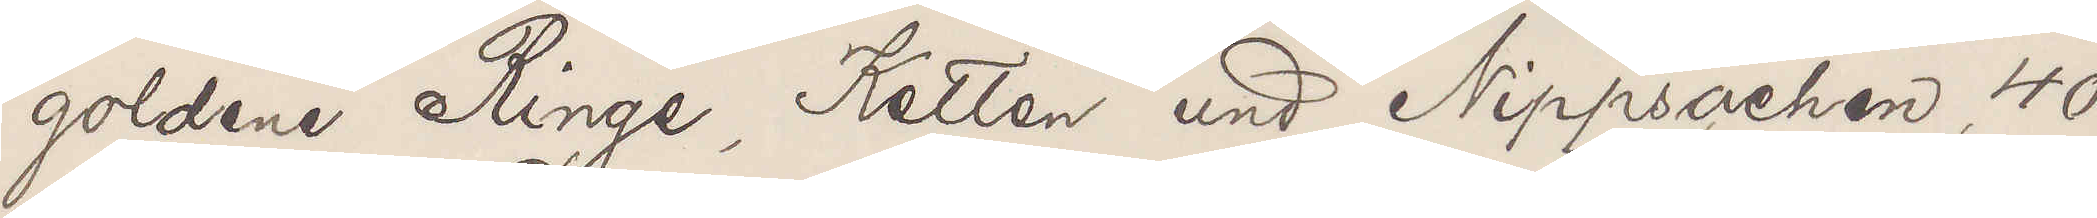goldene Ringe, Ketten und Nippsachen, 40
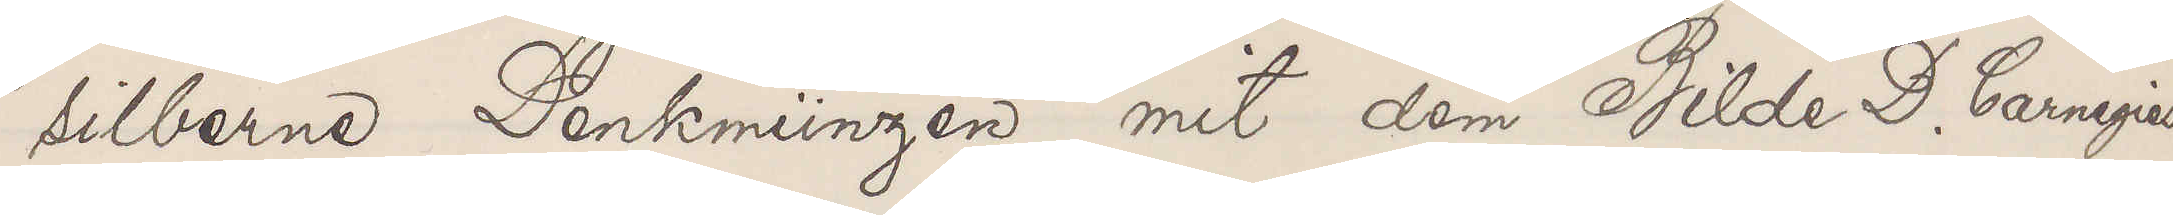silberne Denkmünzen mit dem Bilde D. Carnegies
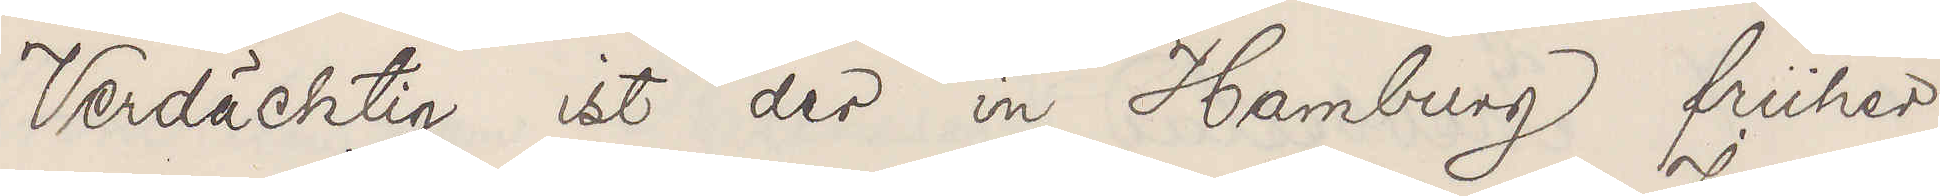Verdächtig ist der in Hamburg früher
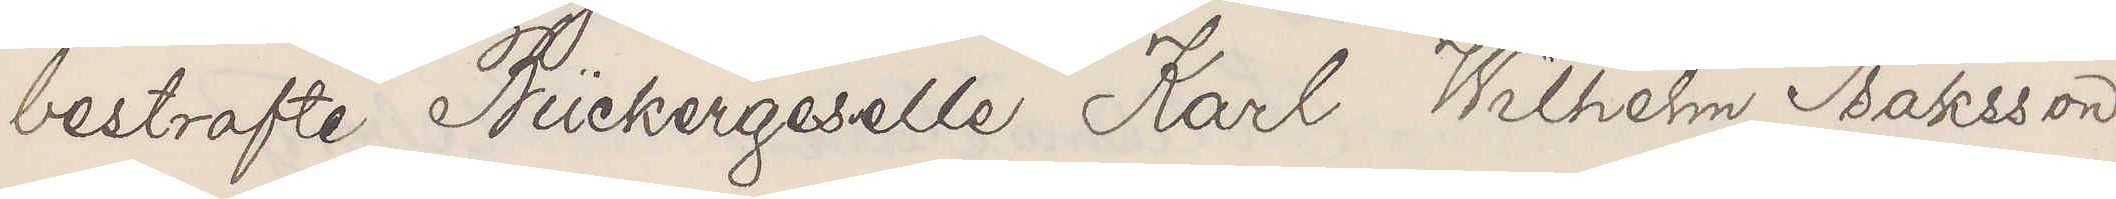bestrafte Bückergeselle Karl Wilhelm Isaksson
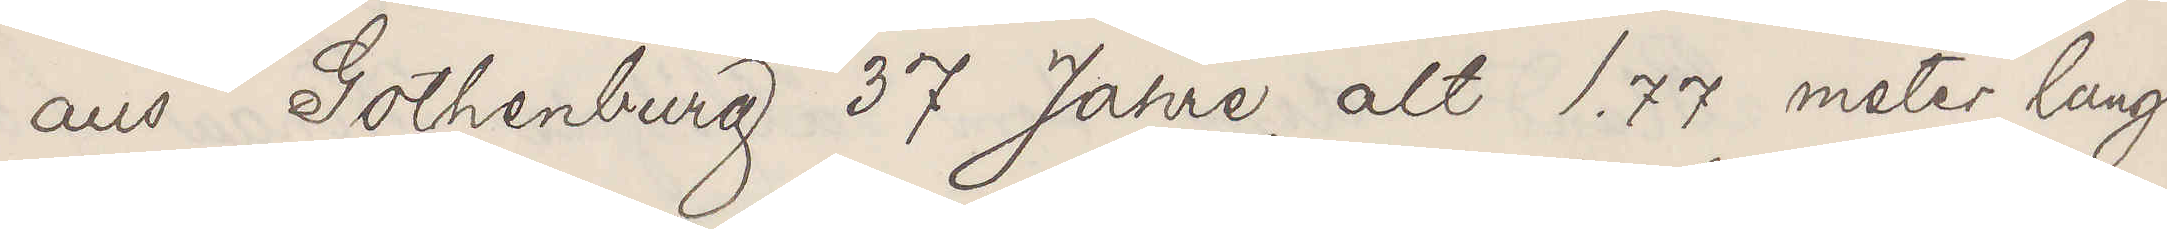aus Gothenburg 37 Jahre alt 1.77 meter lang
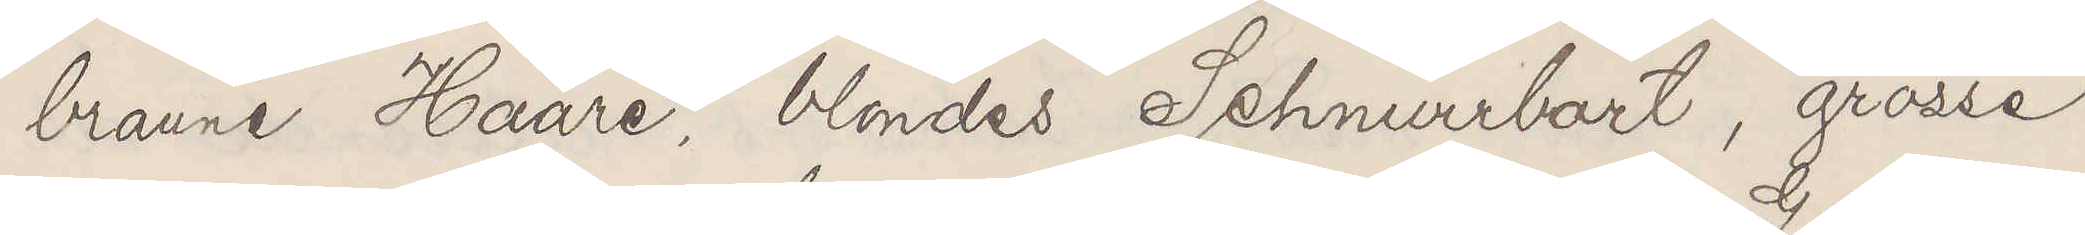braune Haare, blondes Schnurrbart, grosse
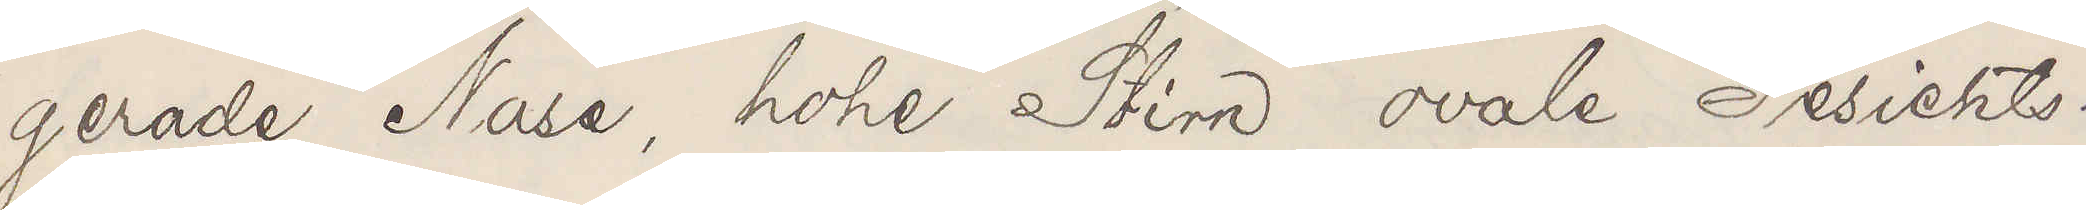gerade Nase, hohe Stirn ovale Gesichts¬
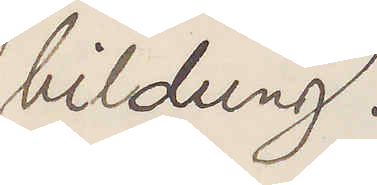bildung.
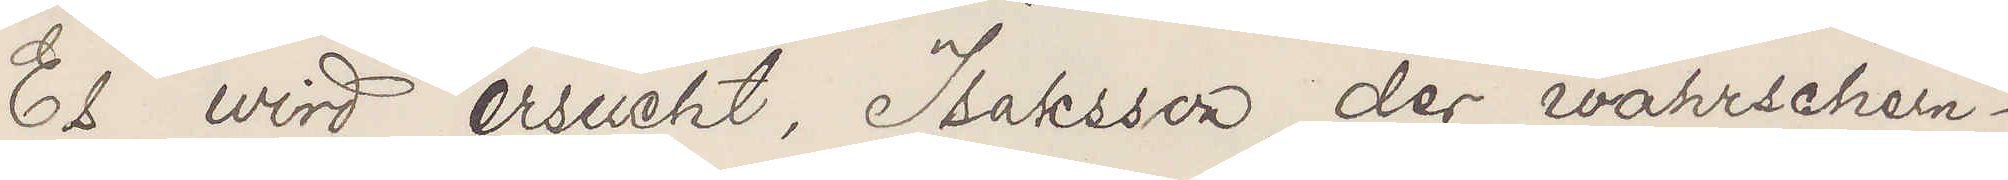Es wird ersucht, Isaksson, der wahrschein¬
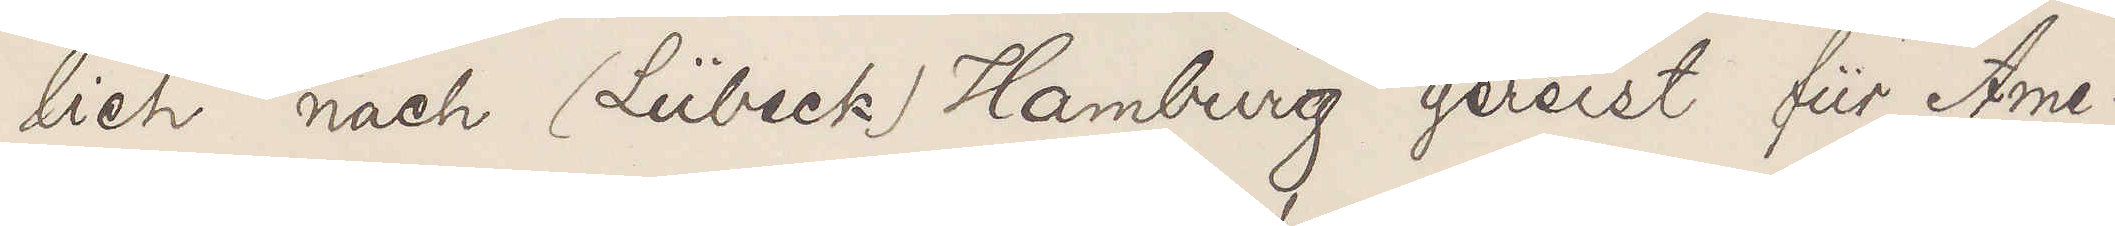lich nach (Lübeck) Hamburg gereist für Ame¬
